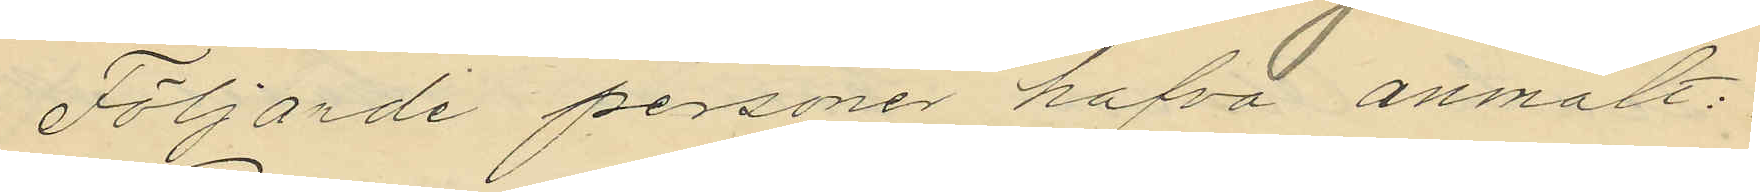Följande personer hafva anmält:
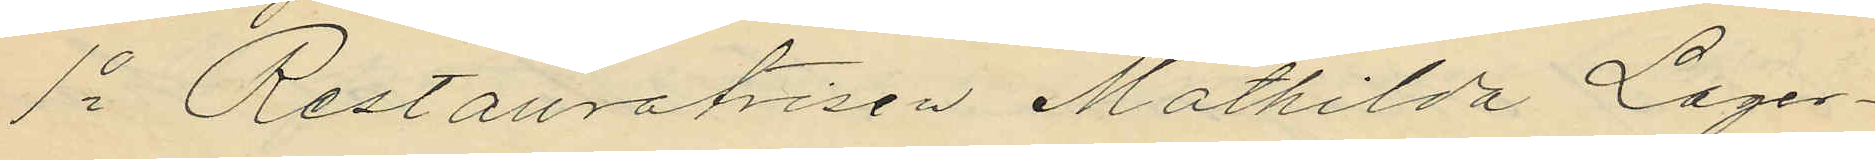1o Restauratrisen Mathilda Lager¬
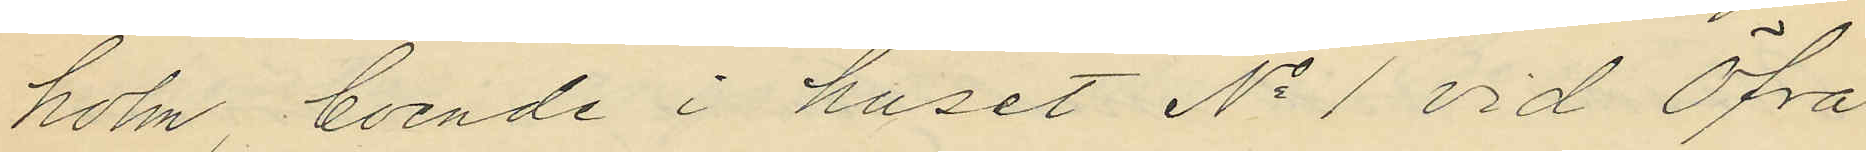holm, boende i huset No 1 vid Öfra
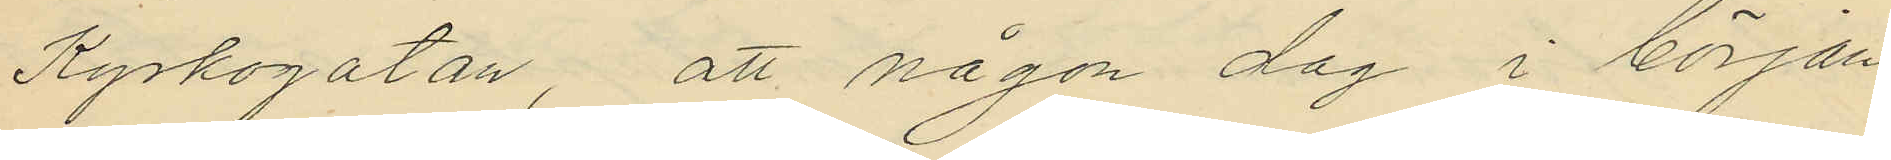Kyrkogatan, att någon dag i början
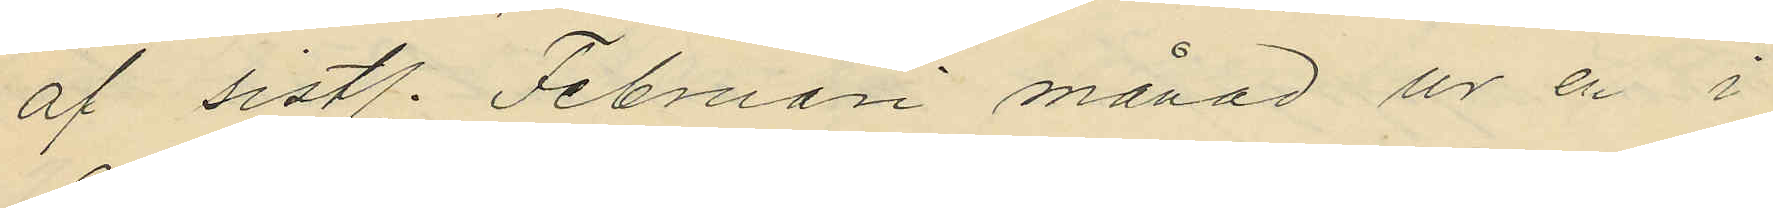af sistl. Februari månad ur en i
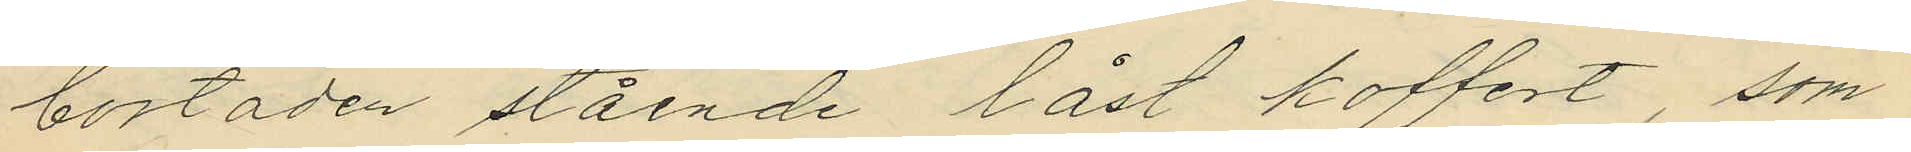bostaden stående låst koffert, som
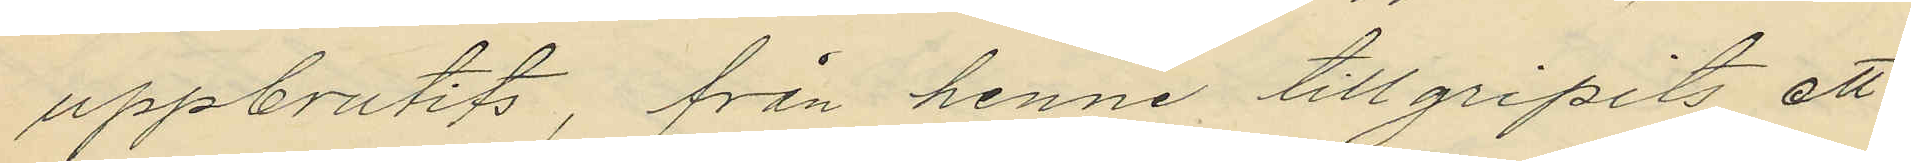uppbrutits, från henne tillgripits ett
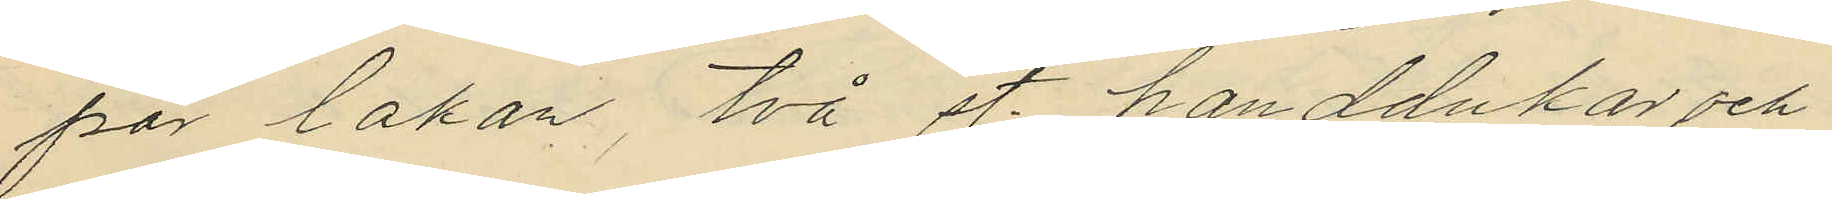par lakan, två st handdukar och
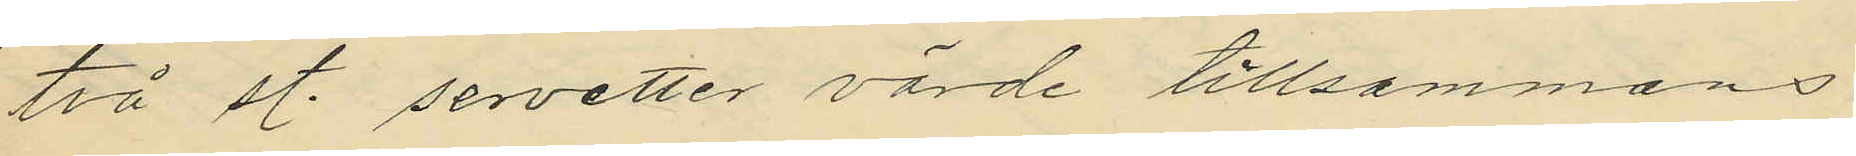två st. servetter värde tillsammans
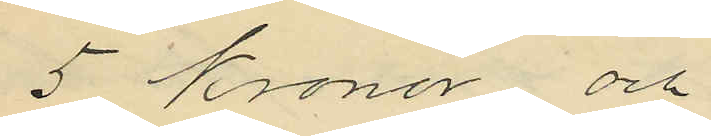5 Kronor och
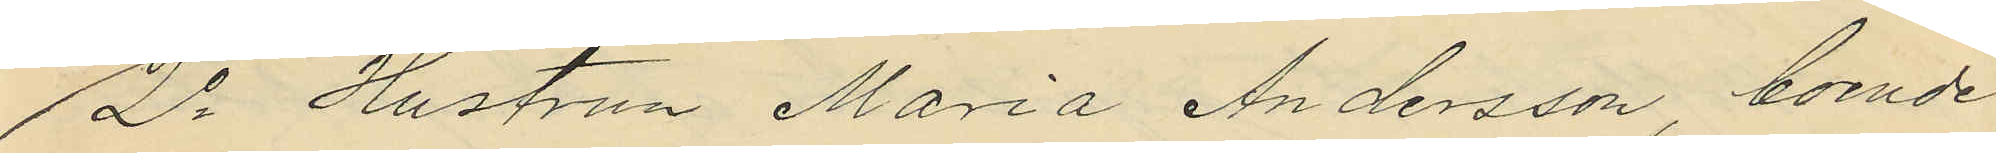2o Hustrun Maria Andersson, boende
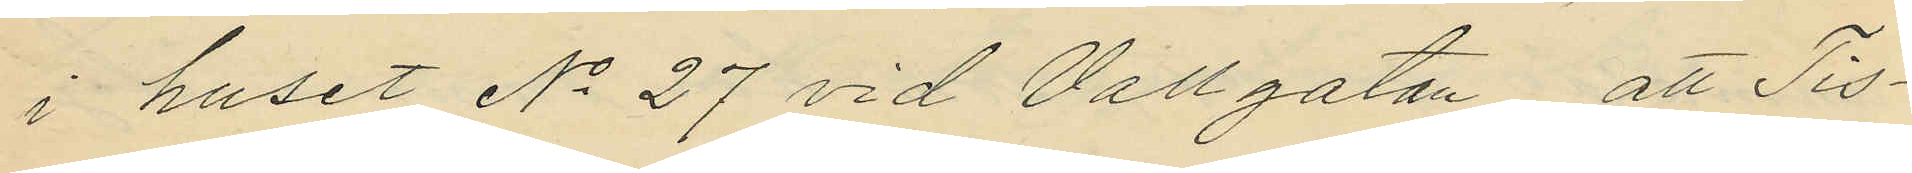i huset No 27 vid Vallgatan; att Tis¬
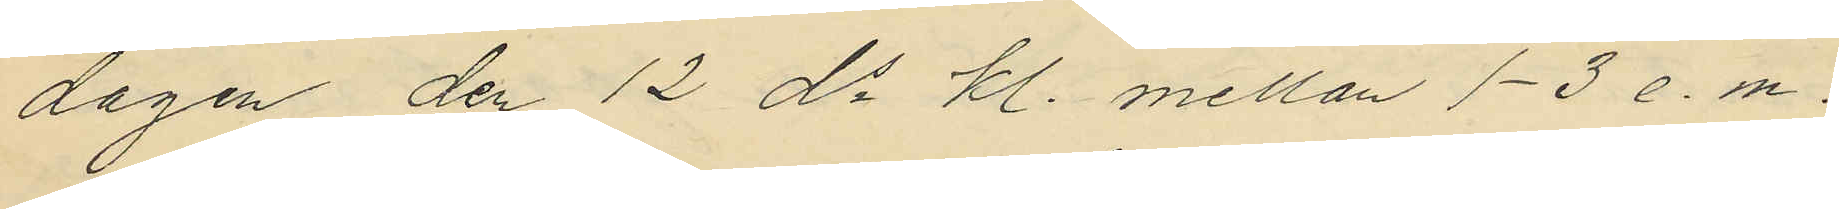dagen den 12 ds kl. mellan 1-3 e. m.
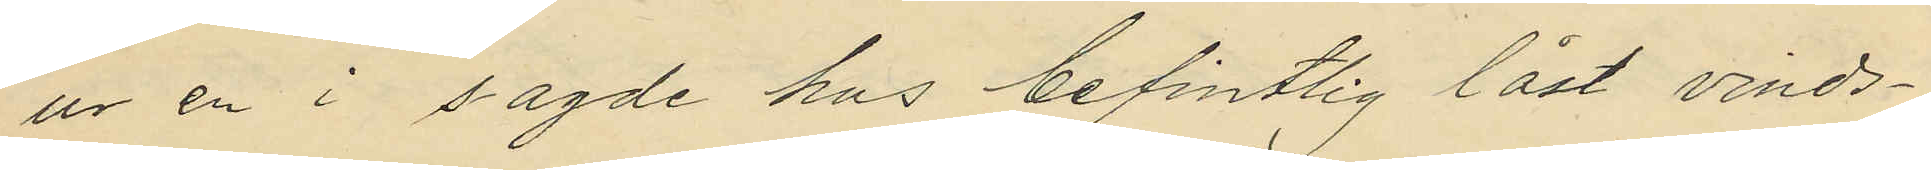ur en i sagde hus befintlig låst vinds¬
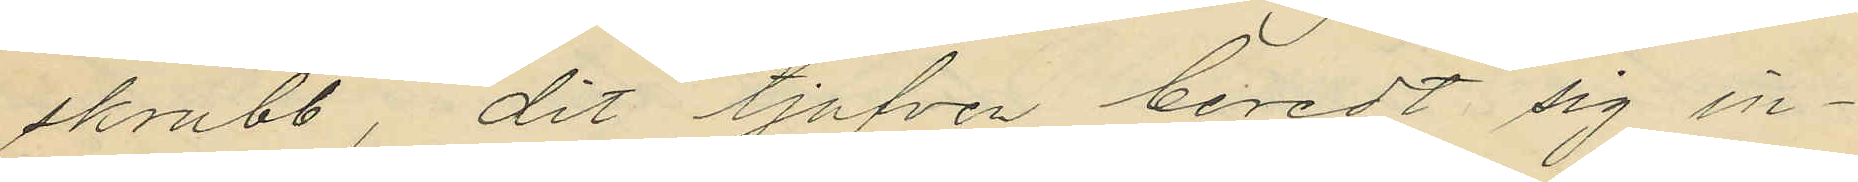skrubb, dit tjufven beredt sig in¬
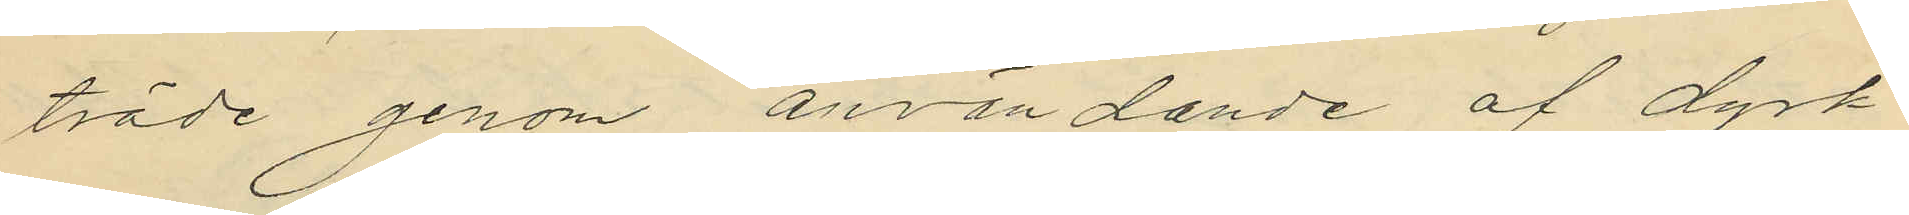träde genom användande af dyrk
